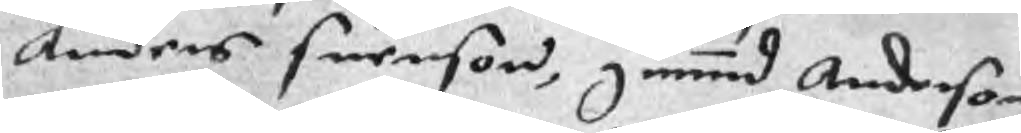Anders Suenson, gummnd Anderson
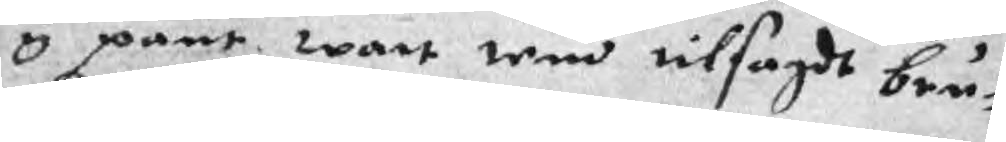y pant wart wm tilsagdt bru¬
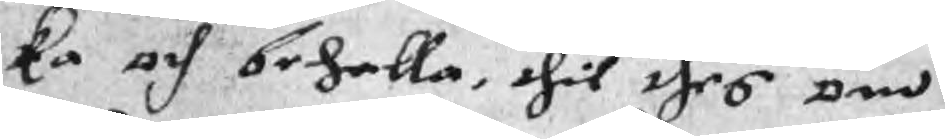ka och beholla, thil thes om
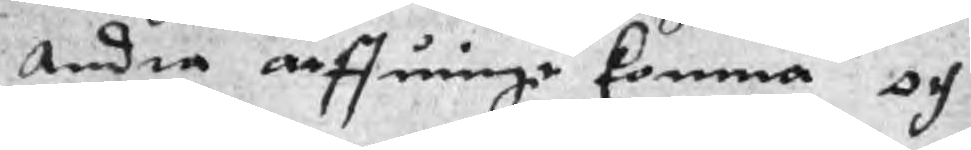Andra arffuinge komma och
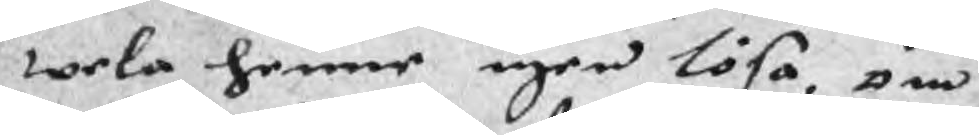wela henne igen lösa, om
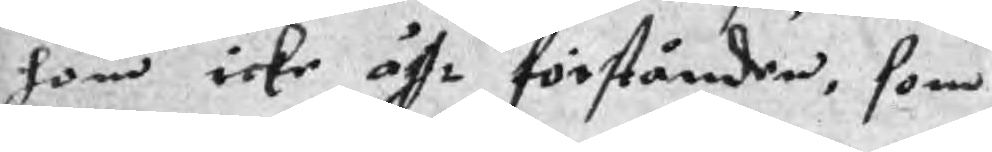hon icke ähr förstånder, som
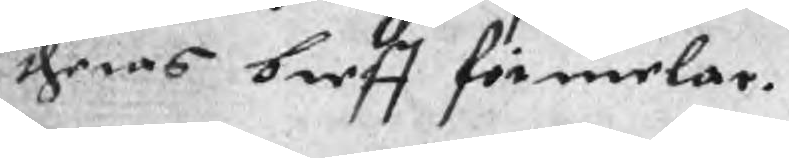theras breff förmelar.
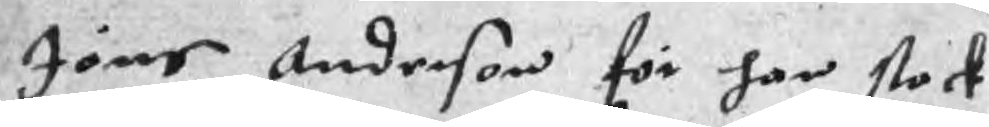Jöns Anderson för har stock
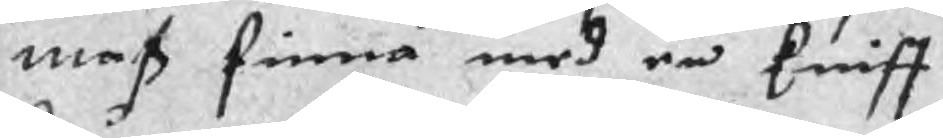mas finna med en kniff
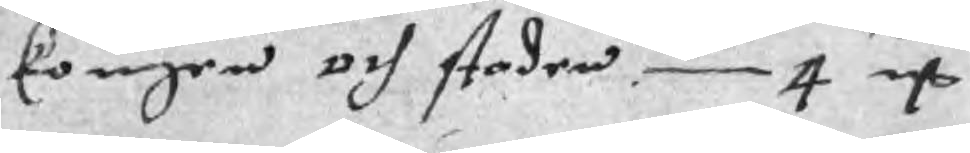kouger och staden 4 mC
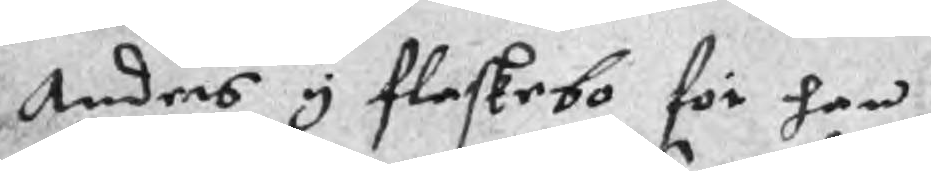Anders y flaskebo för han
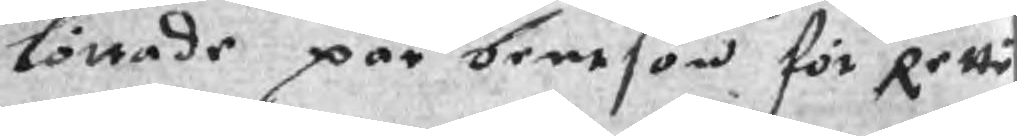löttade par bentson för Rette
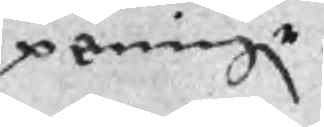peningr
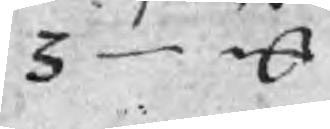3 mC
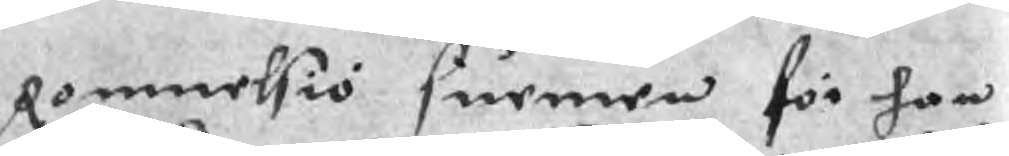Rommelsiö surmen för han
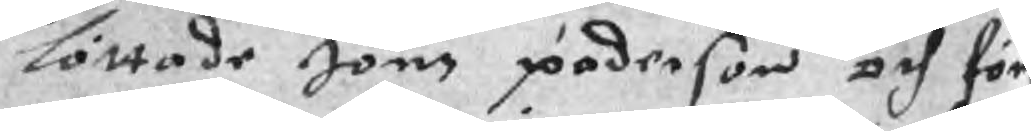löttade Jöns paderson och för
